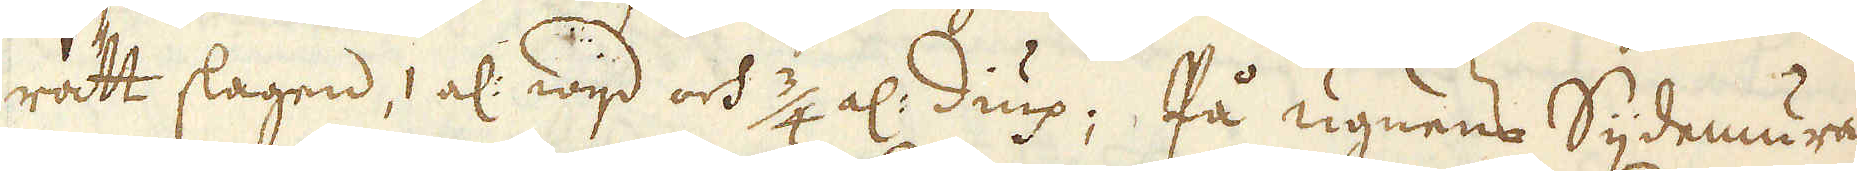rätt slagen,1 al: wijd och 3/4 al: diup; På ugnens Sijdemurar
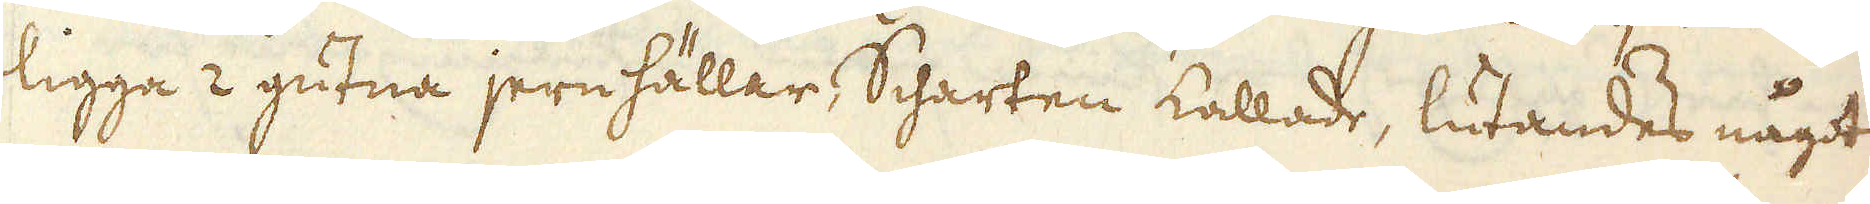ligga 2 gutna jern hällar, Scharten kallade, lutandes något
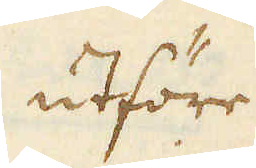utföre
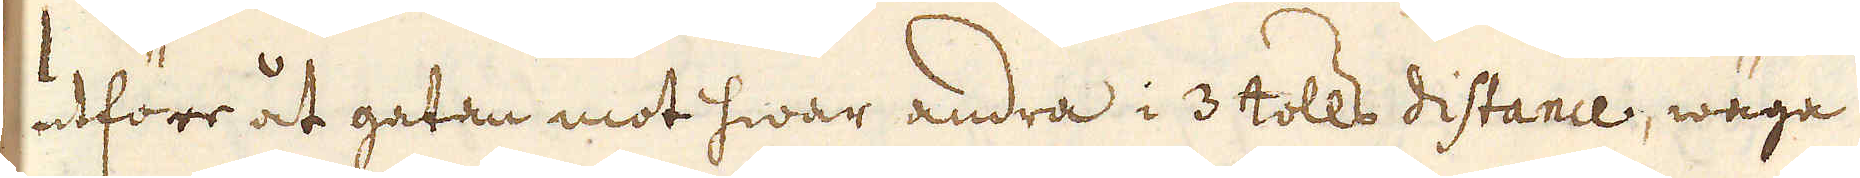utföre åt gatan mot hwar andra i 3 tolls distance, wäga
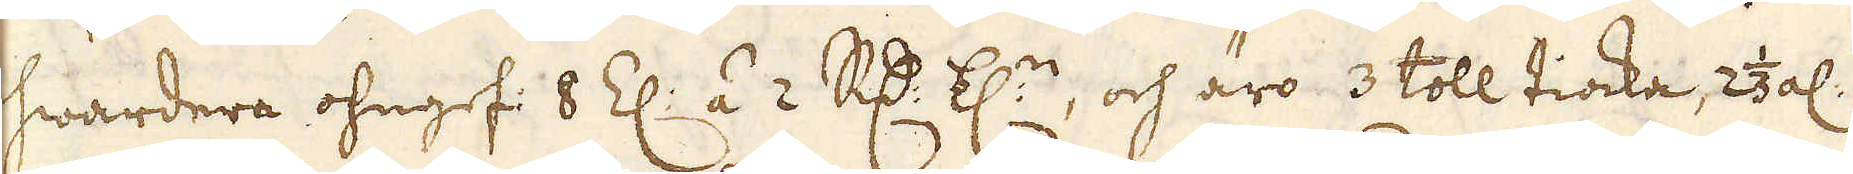hwardera ohngef: 8 Z: á 2 R:dr Z:n, och äro 3 toll tiocka, 2 1/3 al:
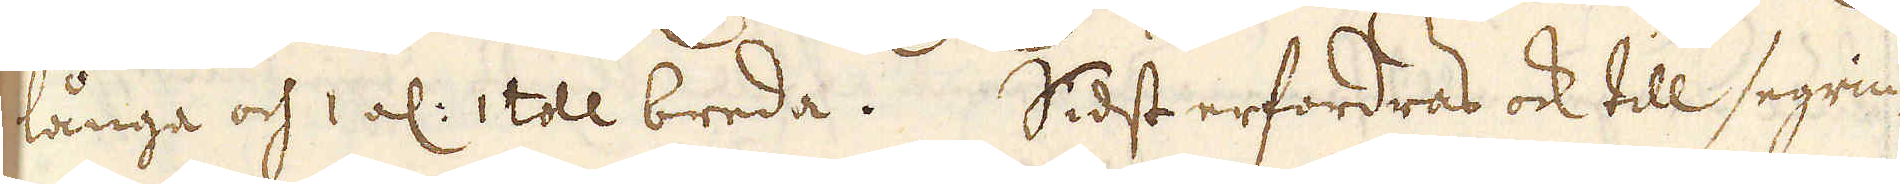långa och 1 al: 1 toll breda. Sidst erfordras ock till segrin-
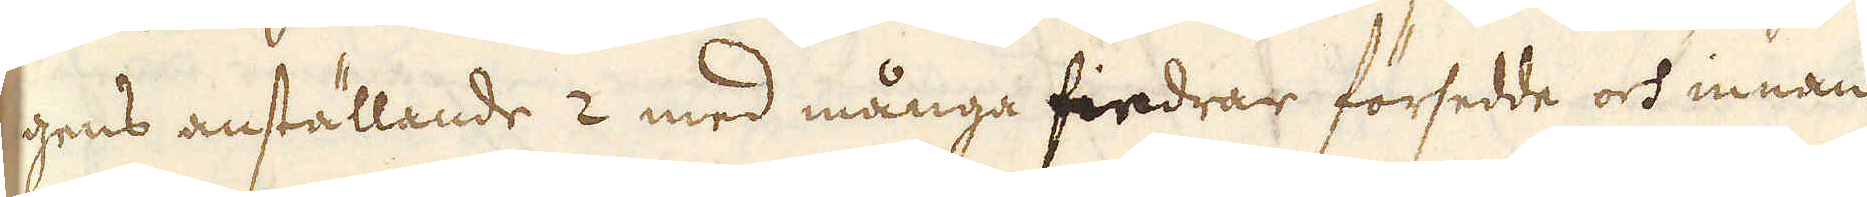gens anställande 2 med många fiedrar försedde och innan
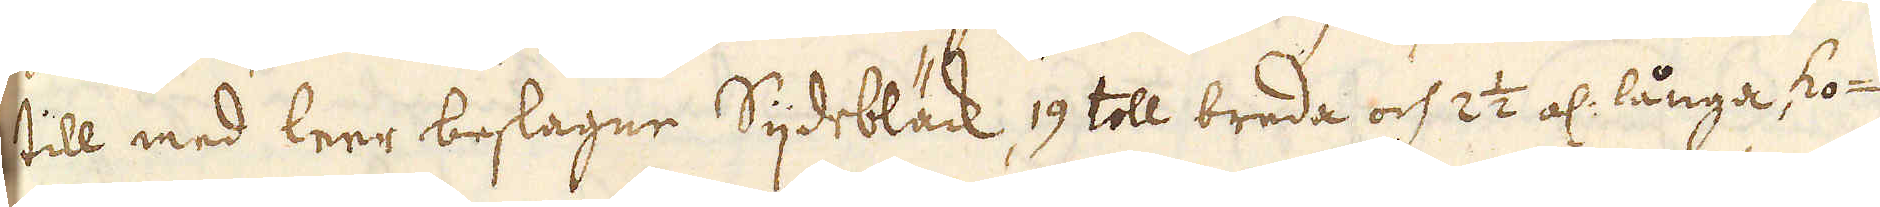till med leer beslagne Sijdebläck, 19 toll breda och 2 1/2 al: långa ko-
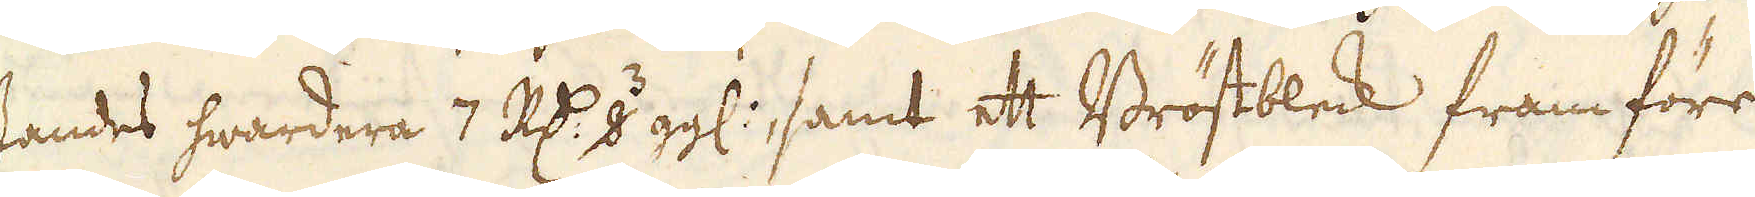standes hwardera 7 R:dr 8 3 ggl:, samt ett Bröstbleck fram före
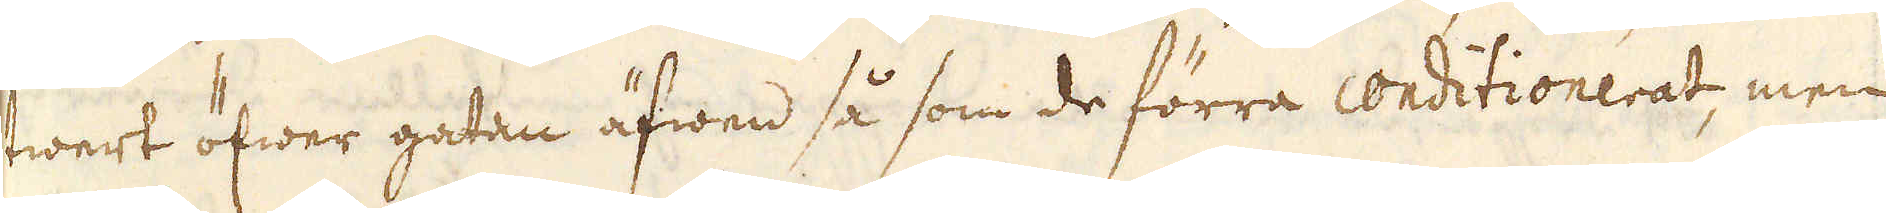twert öfwer gatan äfwen så som de förra conditionerat, men
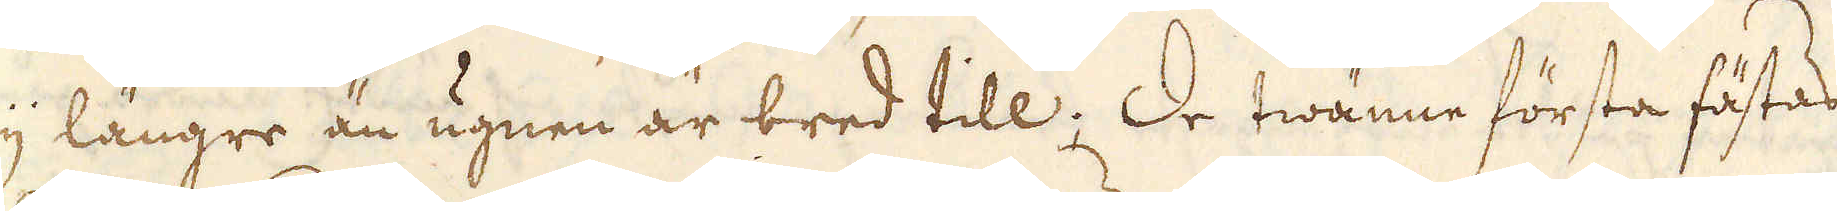eij längre än ugnen är bred till; De twänne första fästas
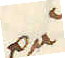på
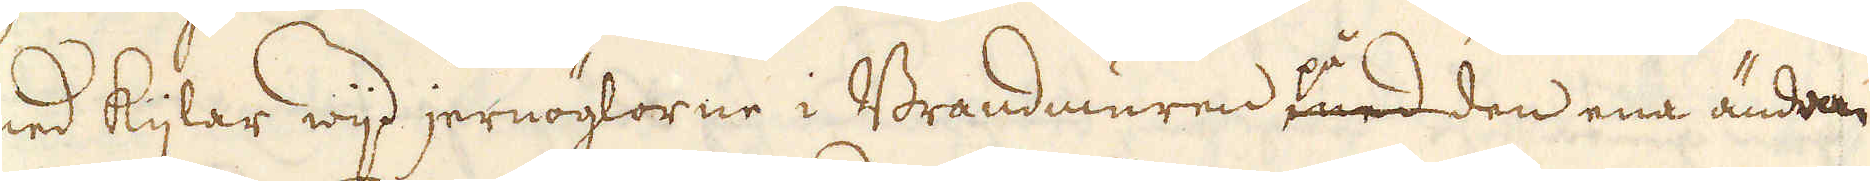med kijlar wijd jernöglorne i Brandmuren med den ena ändan
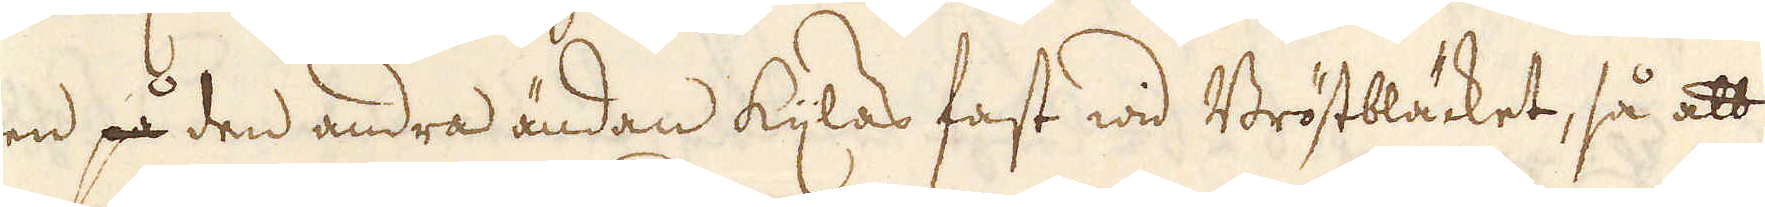men på den andra ändan kylas fast wid Brötbläcket, så att
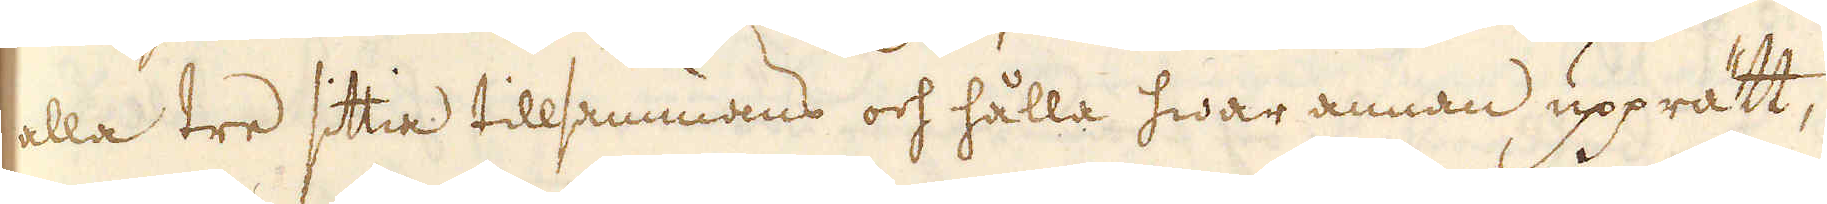alla tre sittia tillsammans och hålla hwar annan upprätt,
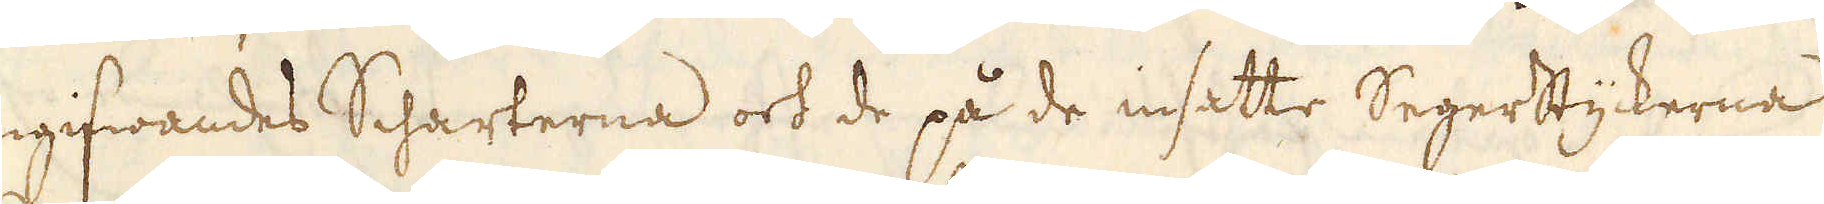omgifwandes Scharterna och de på de insatte Segerstyckerna
